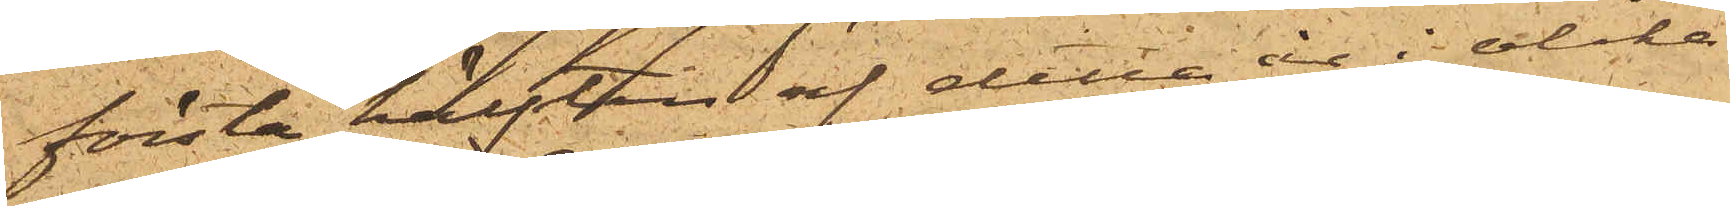första hälften af detta år i olika
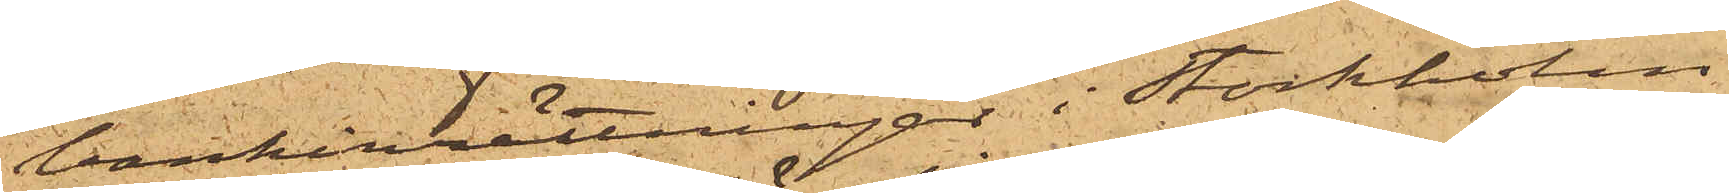bankinrättningar i Stockholm
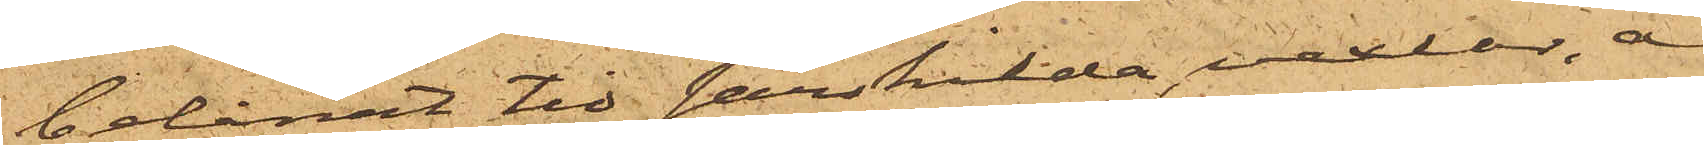belånat tio särskilda vexlar, å
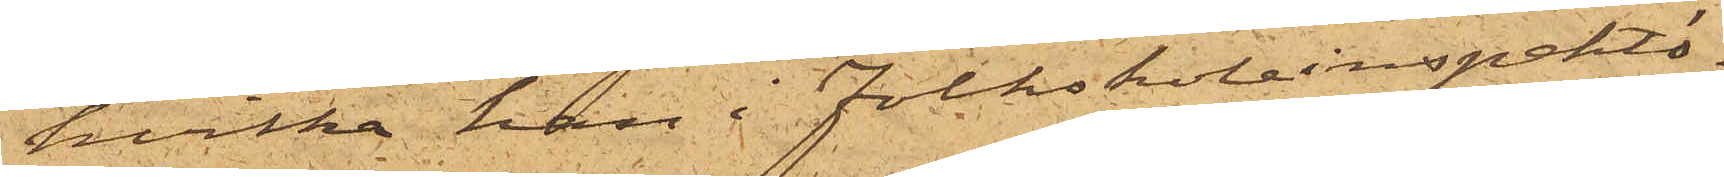hvilka han i folkskoleinspektö¬
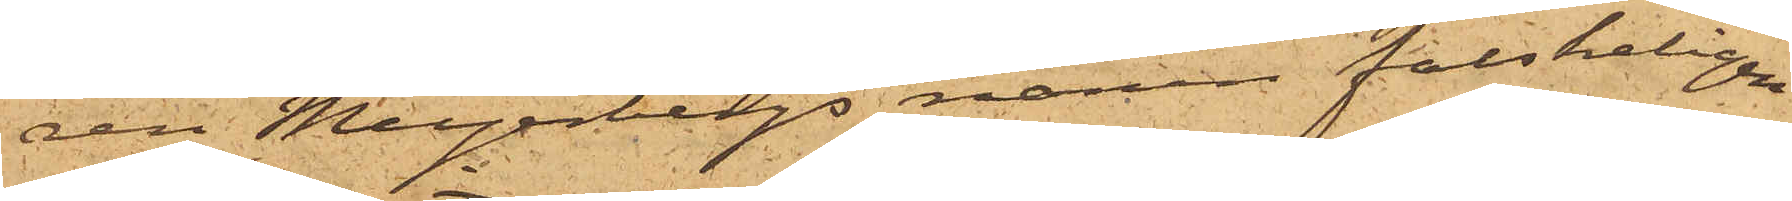ren Meijerbergs namn falskeligen
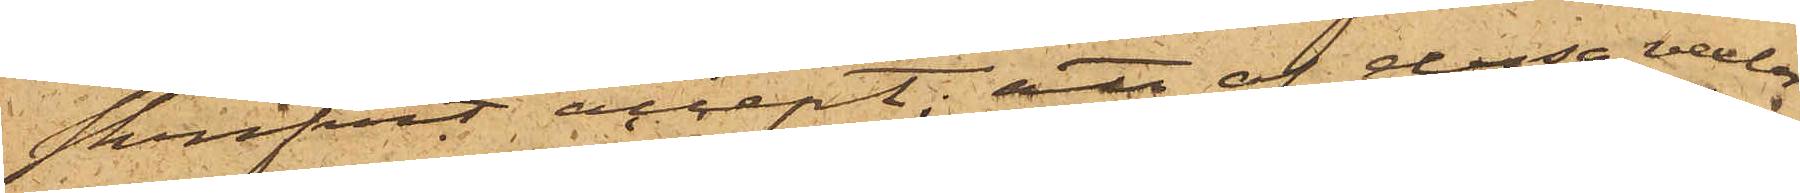skrifvit accept; att af dessa vexlar
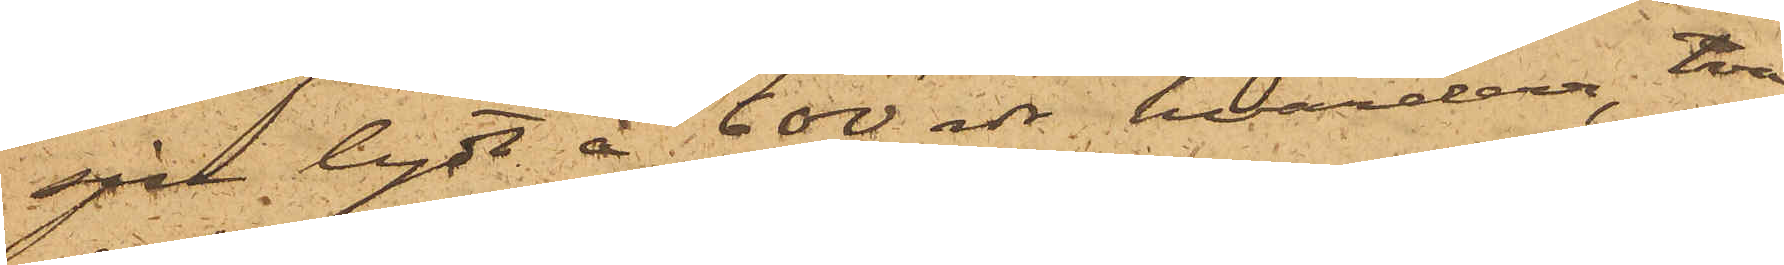sju lydt å 600 rdr hvardera, två
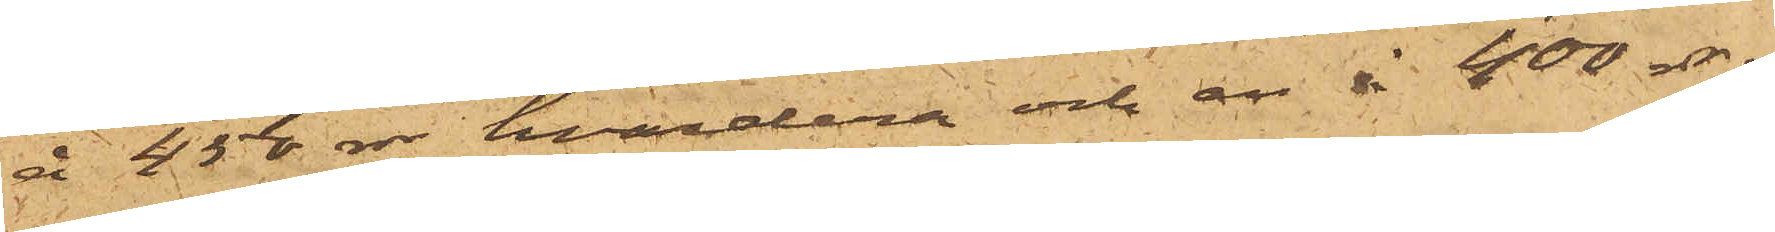å 450 rdr hvardera och en å 400 rdr;
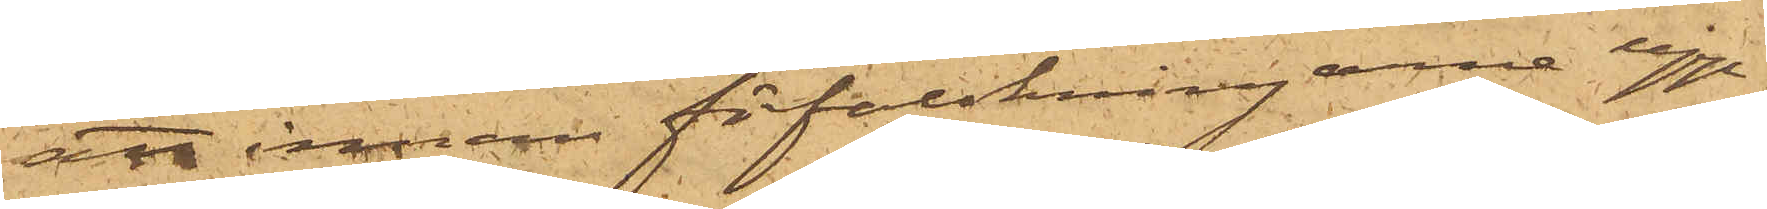att innan förfalskningarne upp¬
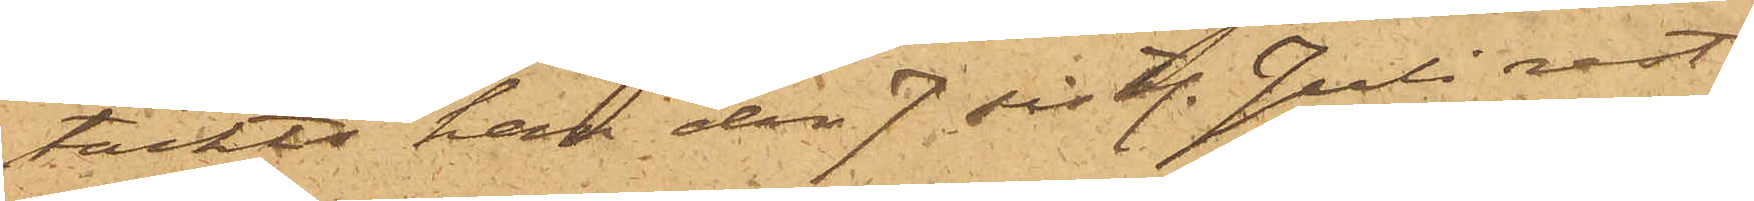täckts han den 7 sist. Juli rest
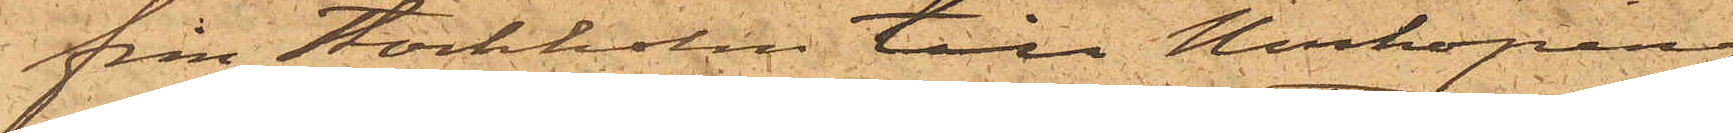från Stockholm till Norrköping
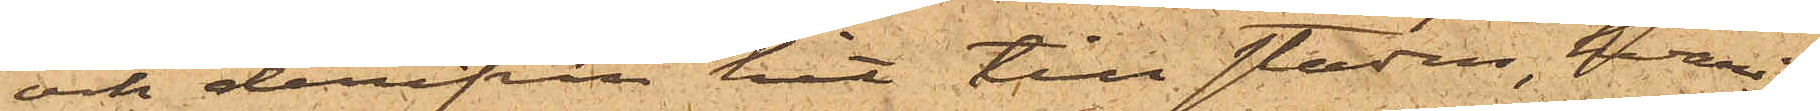och derifrån hit till staden, hvari¬
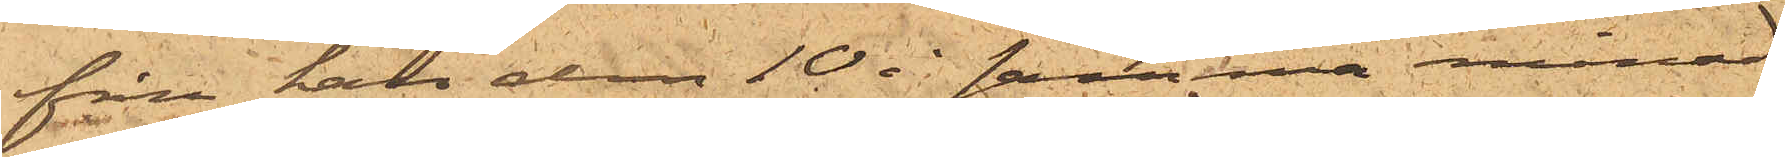från han den 10 i samma månad
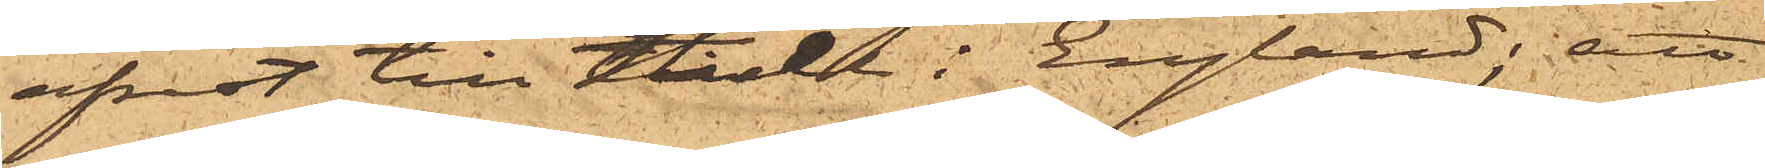afrest till Hull i England; att
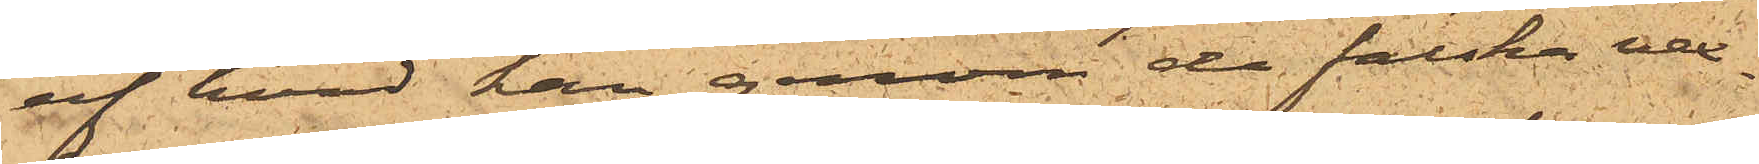af hvad han genom de falska vex¬
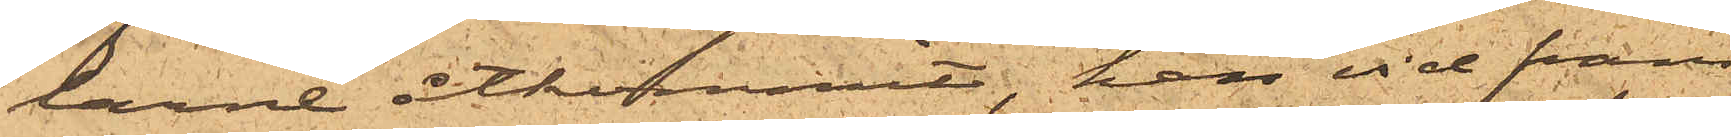larne åtkommit, han vid fram¬
